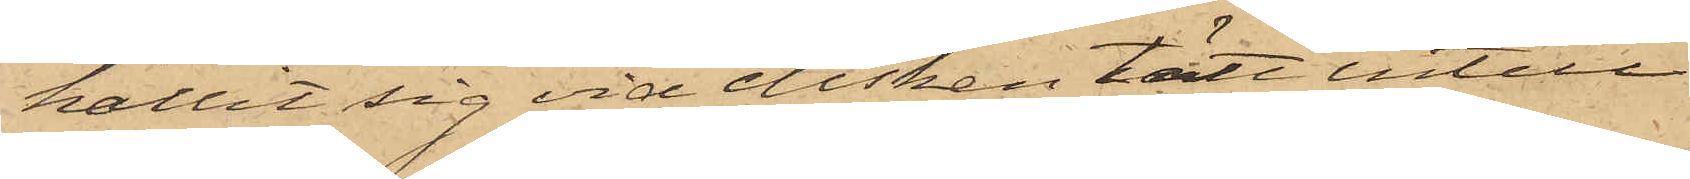hållit sig vid disken tätt intill
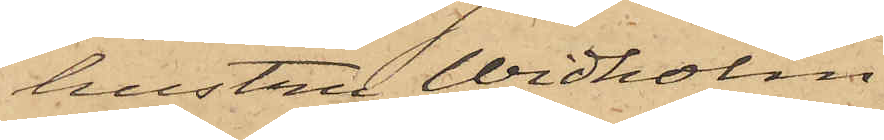hustru Widholm.
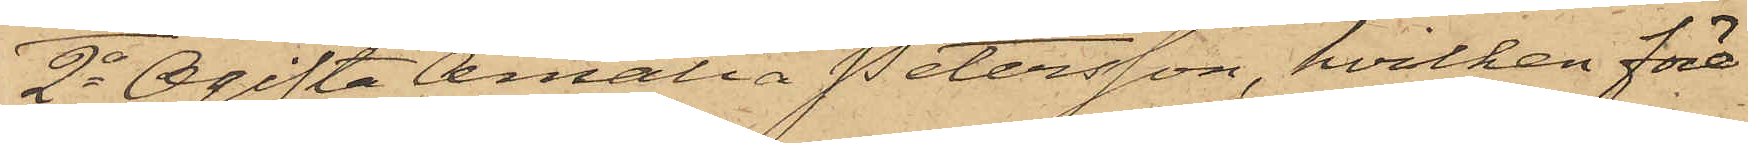2o Ogifta Amalia Petersson, hvilken före¬
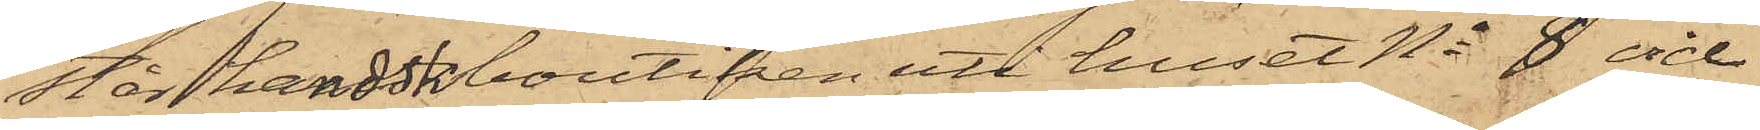står handskboutiken uti huset No 8 vid
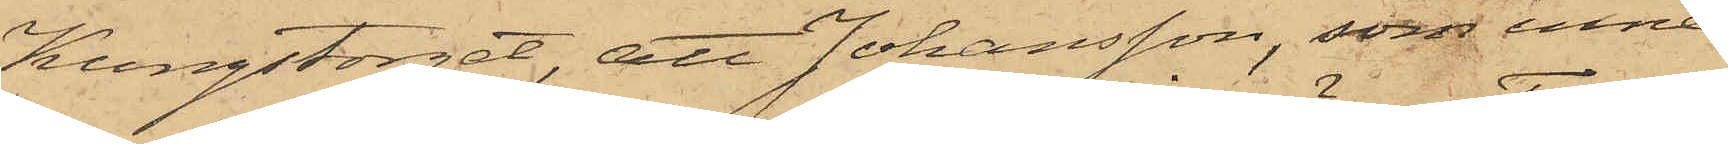Kungstorget, att Johansson, som inne¬
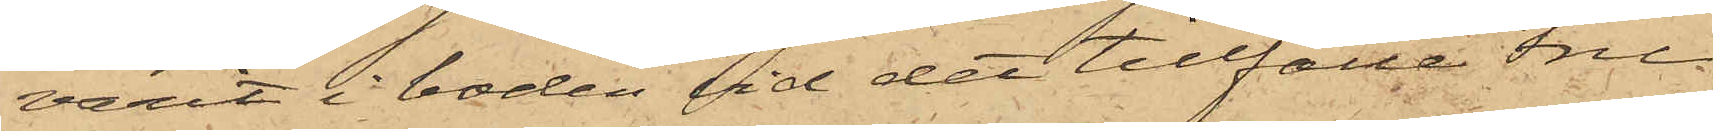varit i boden vid det tillfälle Fru
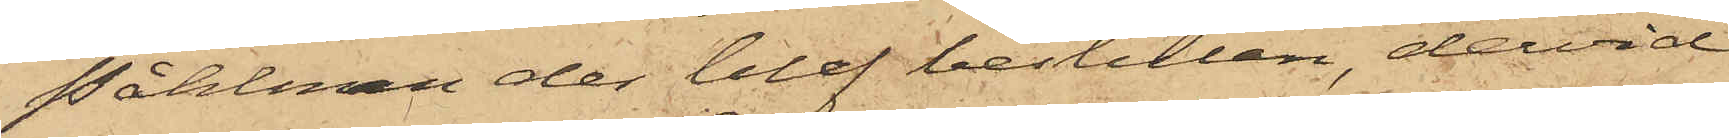Påhlman der blef bestulen, dervid
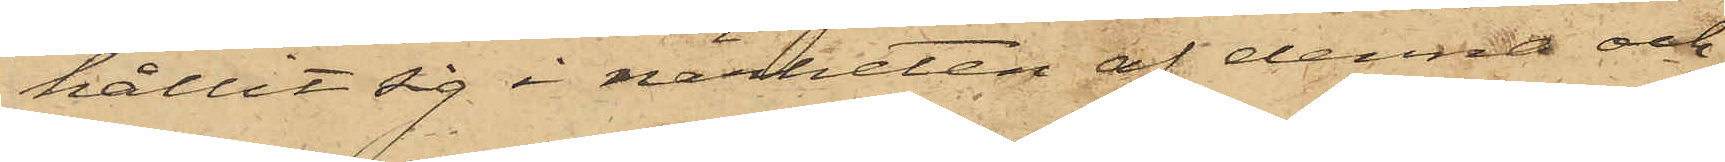hållit sig i närheten af denna och
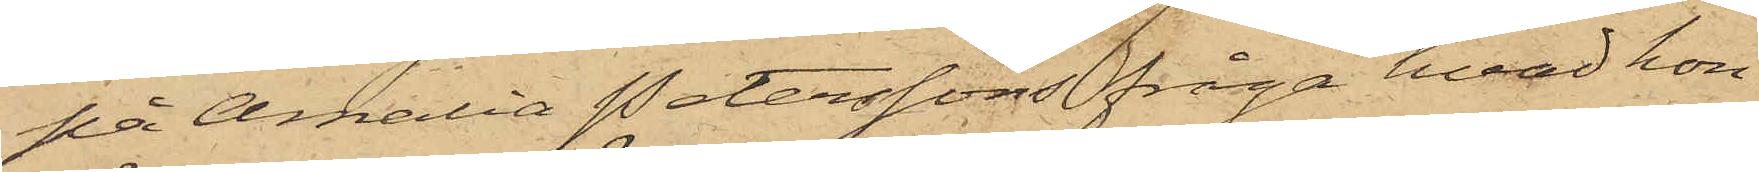på Amalia Peterssons fråga hvad hon
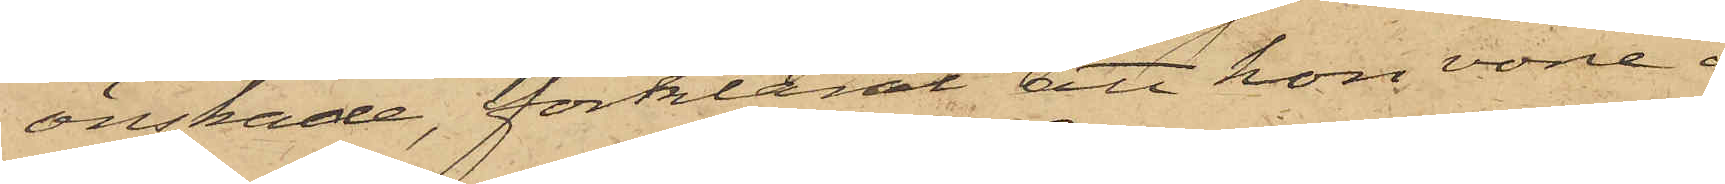önskade, förklarat att hon vore i
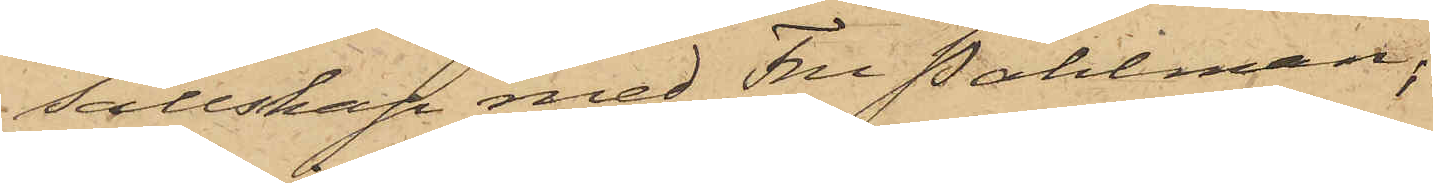sällskap med Fru Påhlman;
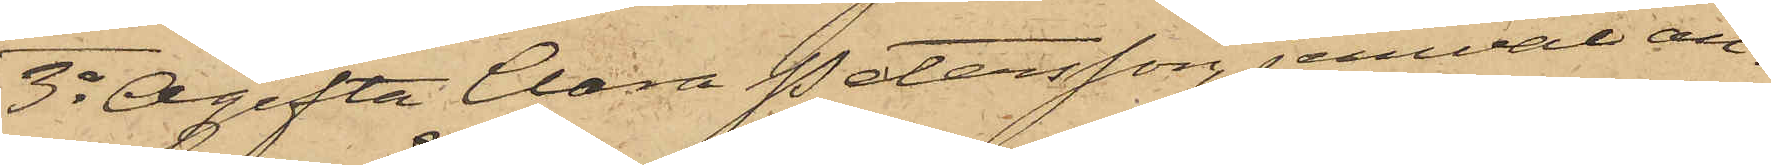3o Ogifta Clara Petersson, jemväl an¬
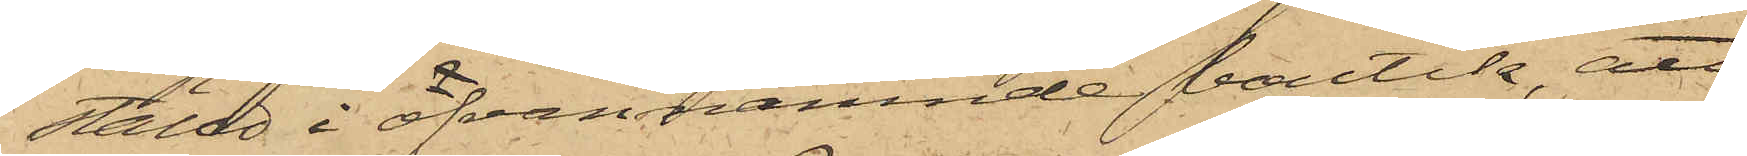ställd i ofvannämnde boutik, att
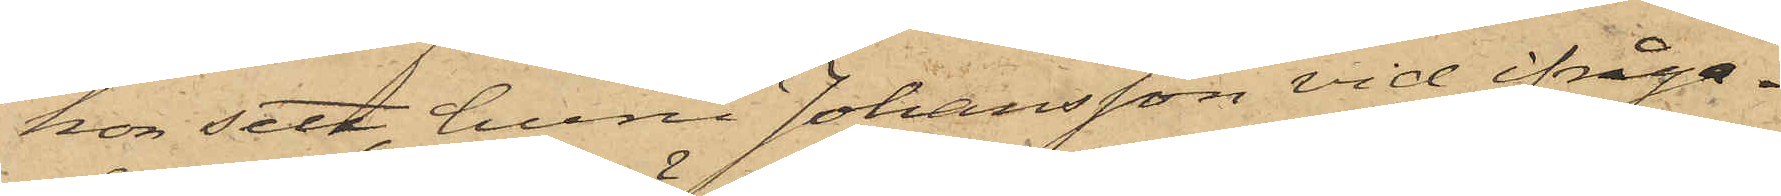hon sett, huru Johansson vid ifråga¬
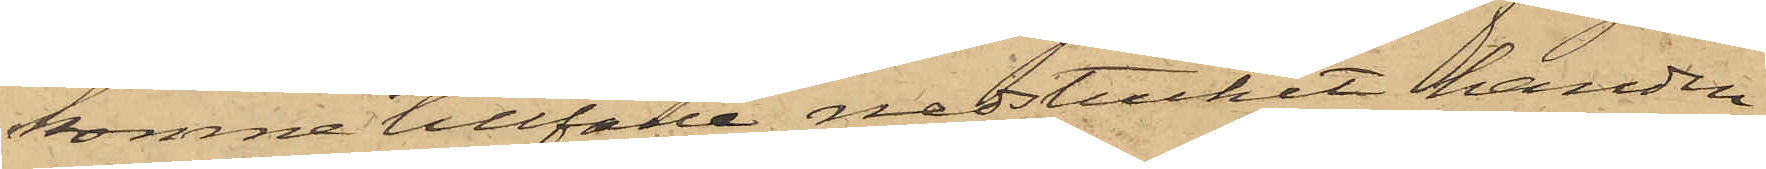komne tillfälle nedstuckit handen
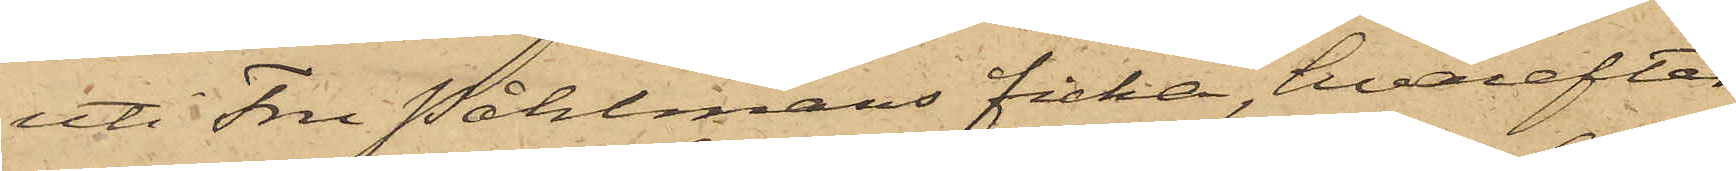uti Fru Påhlmans ficka, hvarefter
